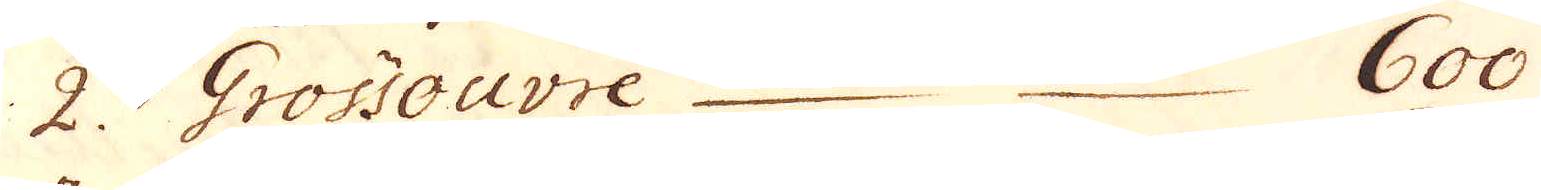2. Grossouvre 600
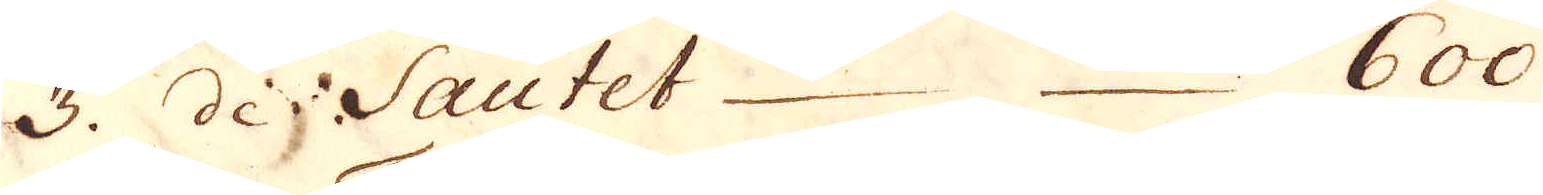3. de Sautet 600
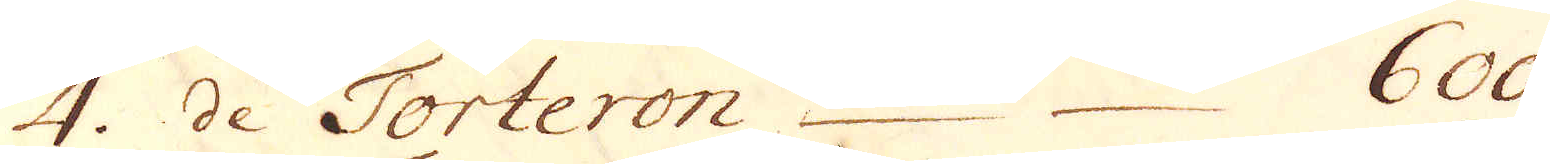4. de Torteron 600.
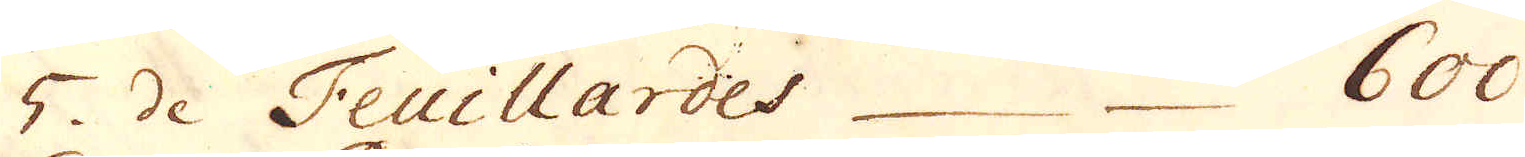5. de Feuillardes 600
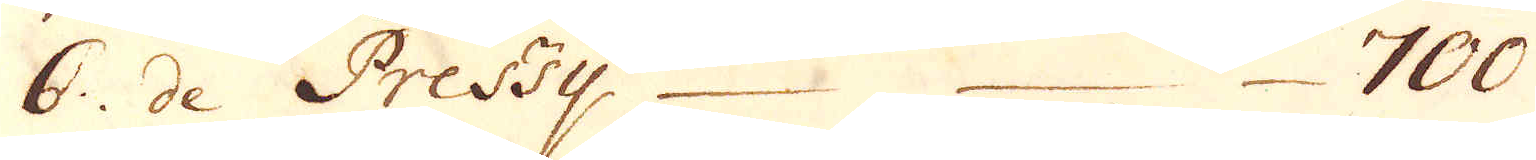6. de Pressy 700
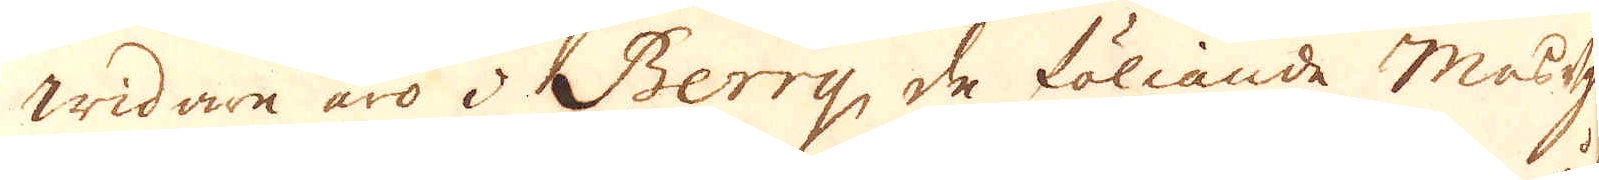Widare äro i Berry, de föliande Masugnar
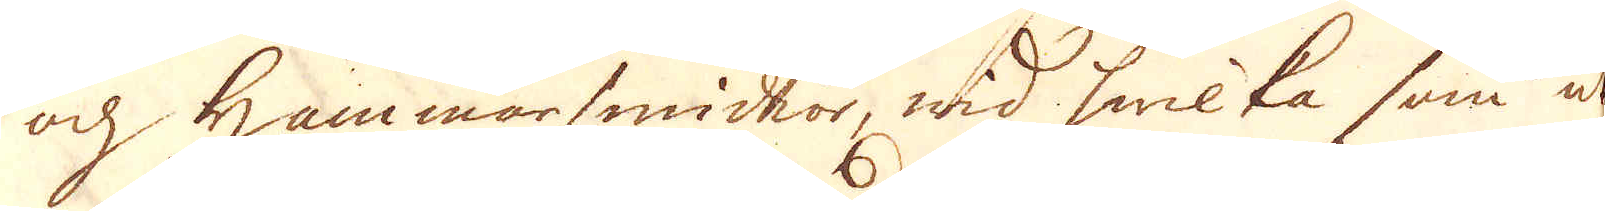och Hammarsmidior, wid hwilka som ut-
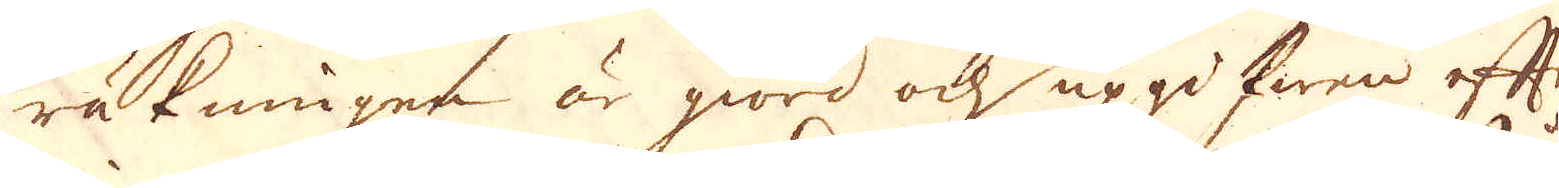räkningen är giord och uppgifwen efter
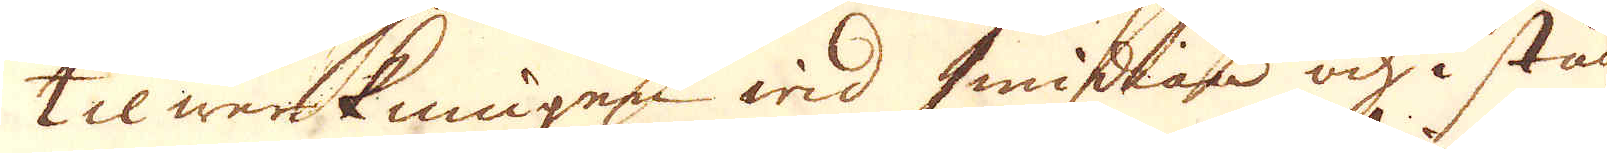tilwerkningen wid smidian och i stång-
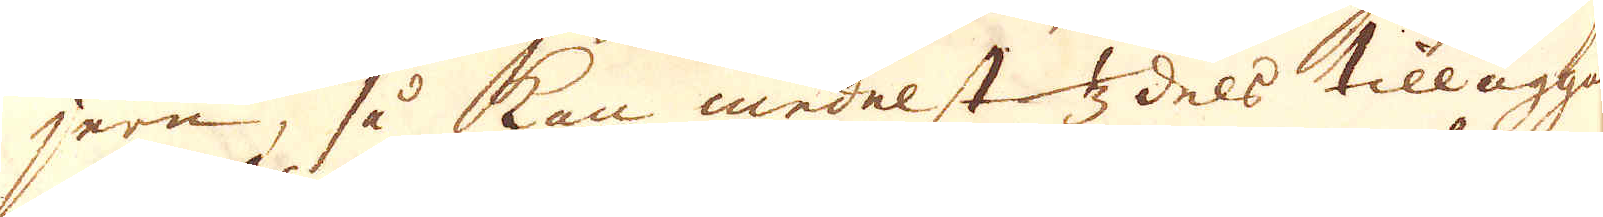jern, så kan medelst 1/3 dels tilläggan-
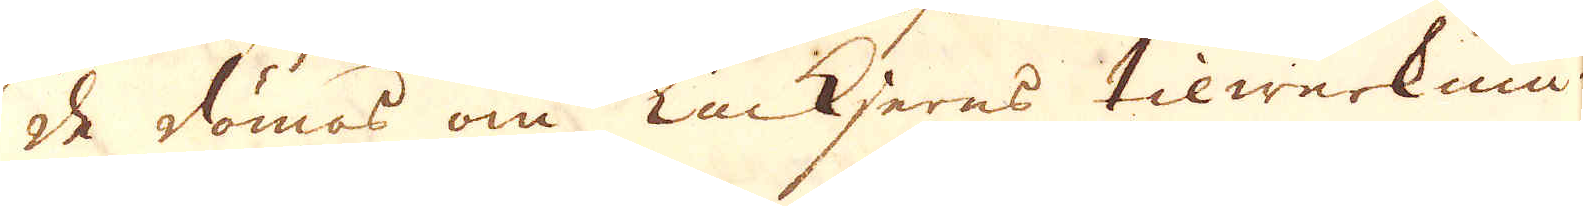de dömas om Tackjerns tilwärknin-
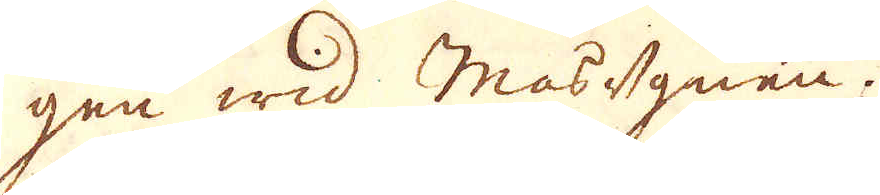gen wid Masugnen.
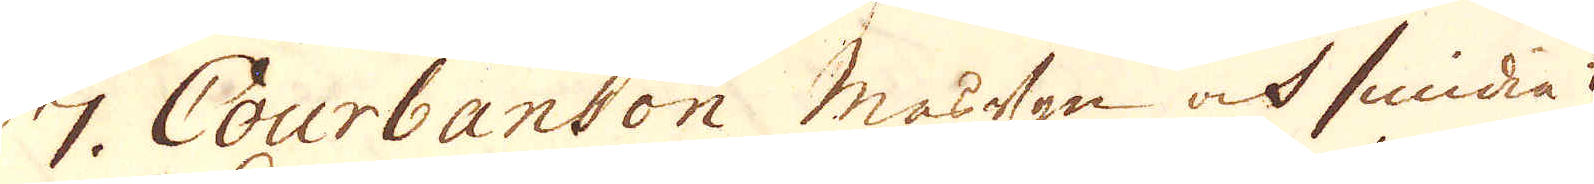7. Courbanson masugn ock smidia
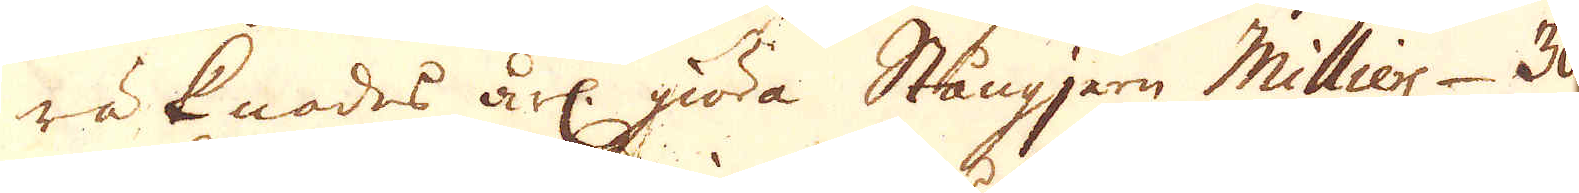räknades årl. giöra Stångjern Milliers 30
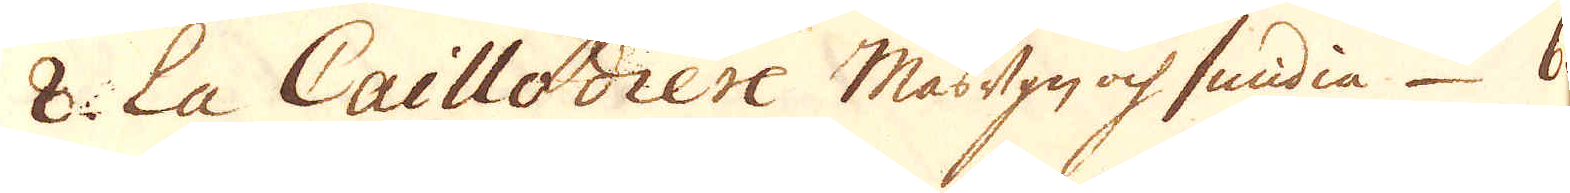8. La Caillodiere Masugn ock smidia 60
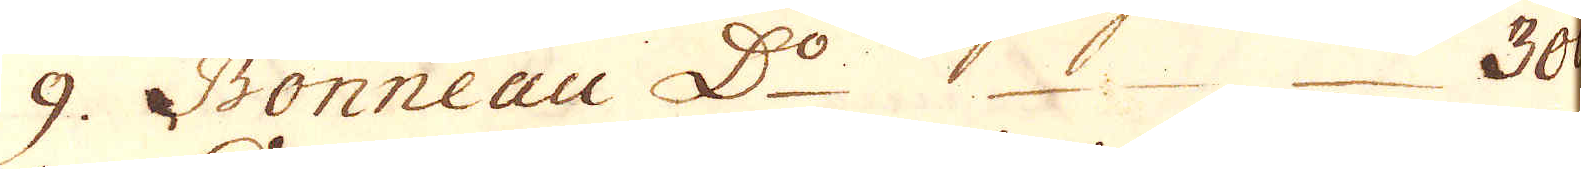9. Bonneau D:o 30.
